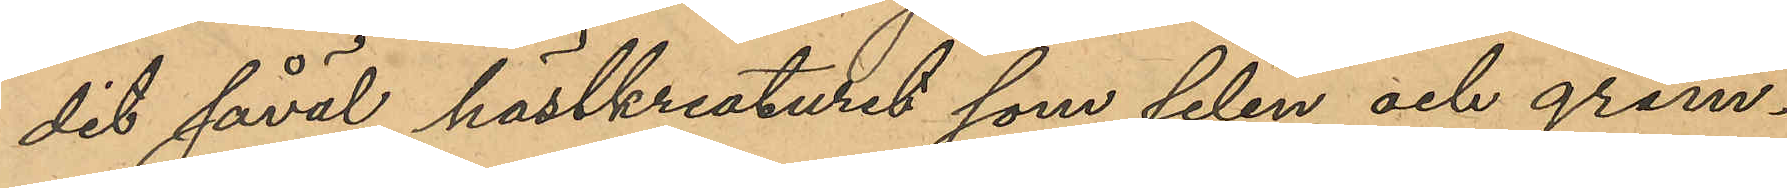dit såväl hästkreaturet som selen och grim¬
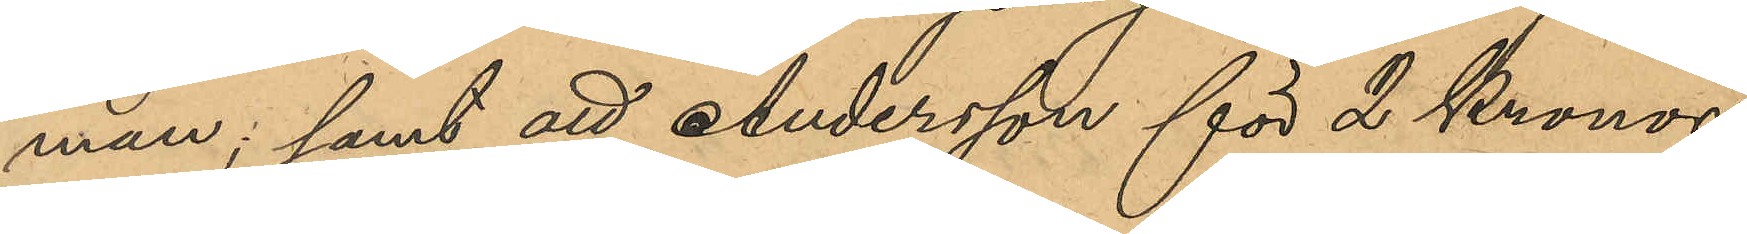man; samt att Andersson för 2 Kronor
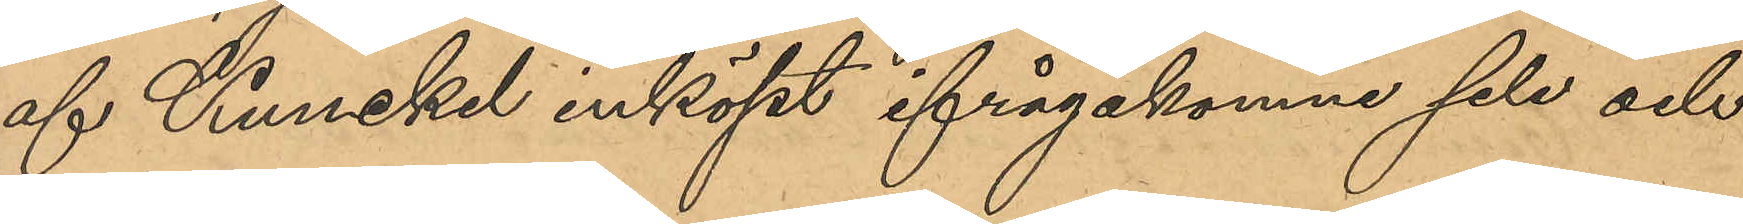af Kunckel inköpt ifrågakomne sele och
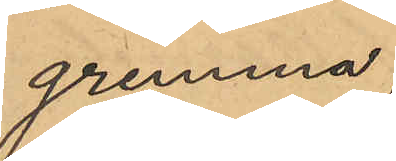grimma;
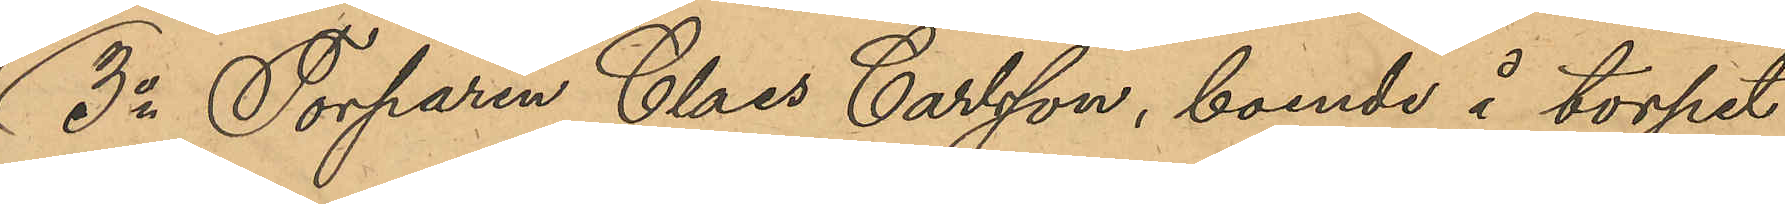3o Torparen Claes Carlsson, boende å torpet
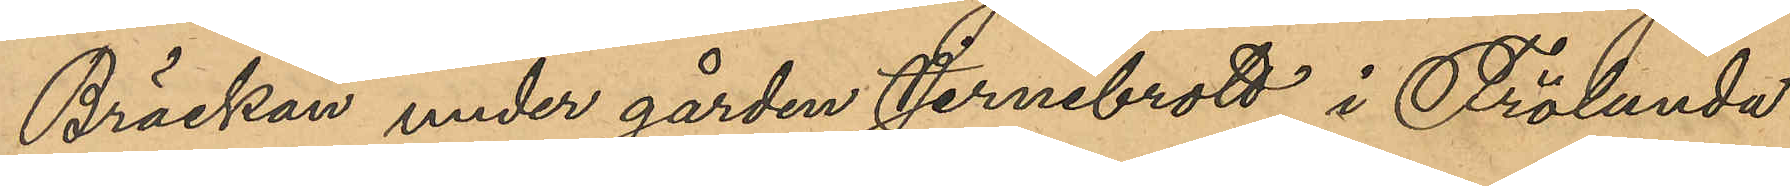Bräckan under gården Jernebrott i Frölunda
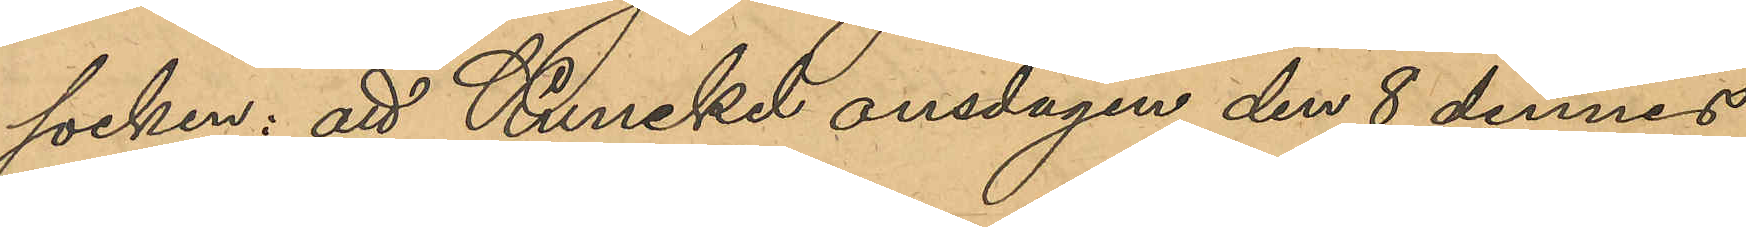socken; att Kunckel onsdagen den 8 dennes
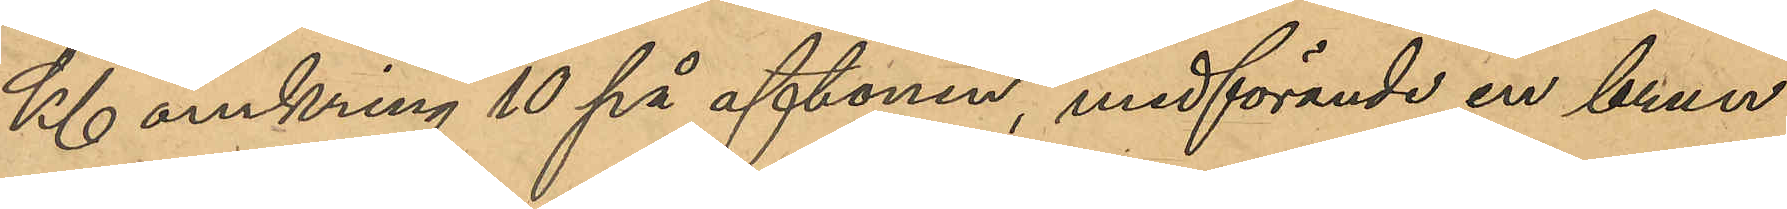Kl omkring 10 på aftonen, medförande en brun
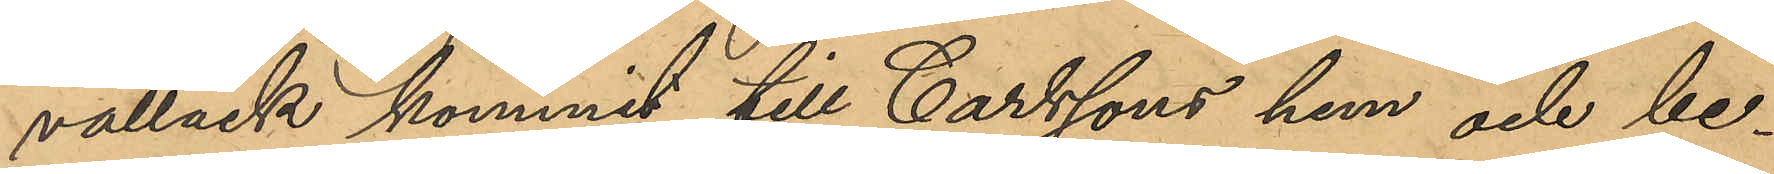vallack kommit till Carlssons hem och be¬
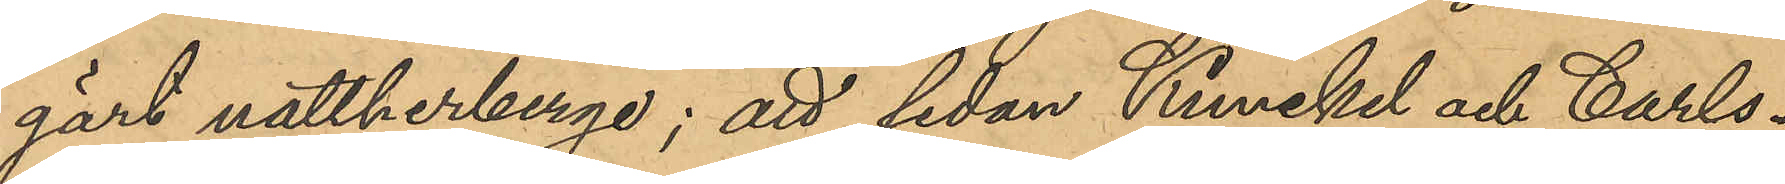gärt nattherberge; att sedan Kunckel och Carls¬
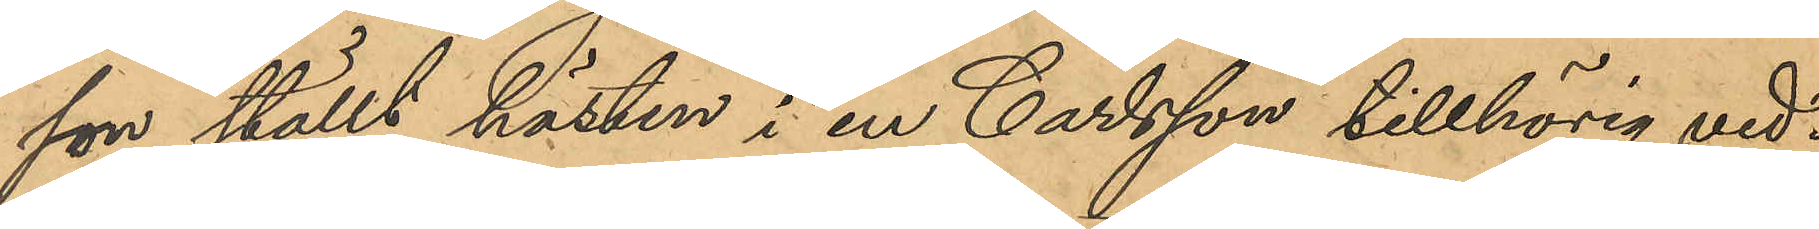son ställt hästen i en Carlsson tillhörig ved¬
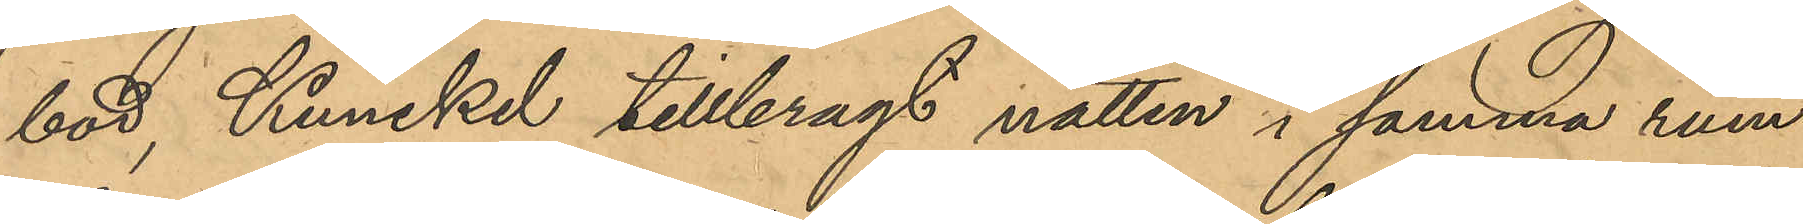bod, Kunckel tillbragt natten i samma rum
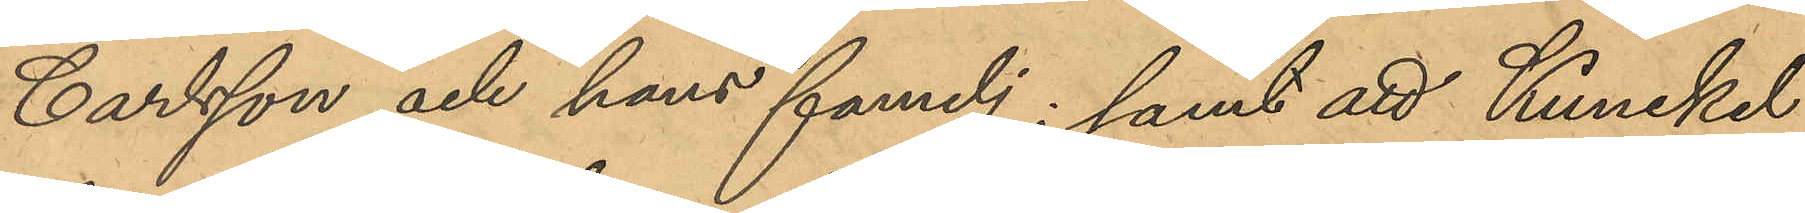Carlsson och hans familj; samt att Kunckel,
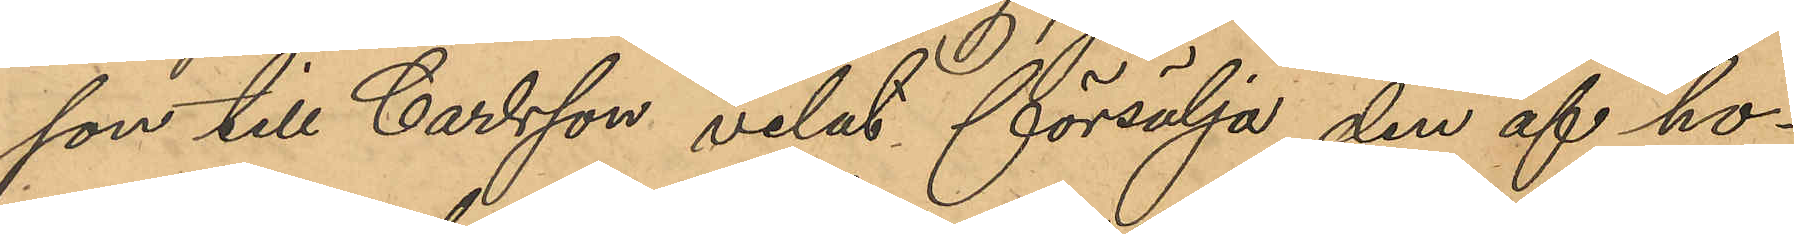som till Carlsson velat försälja den af ho¬
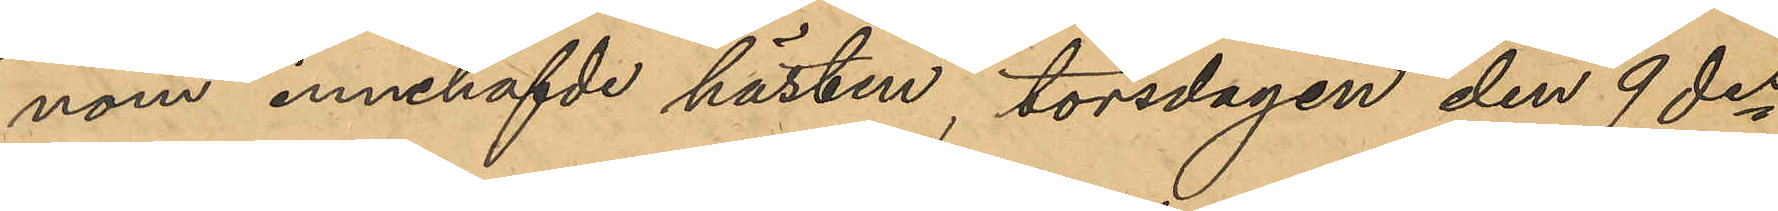nom innehafvde hästen, torsdagen den 9 des
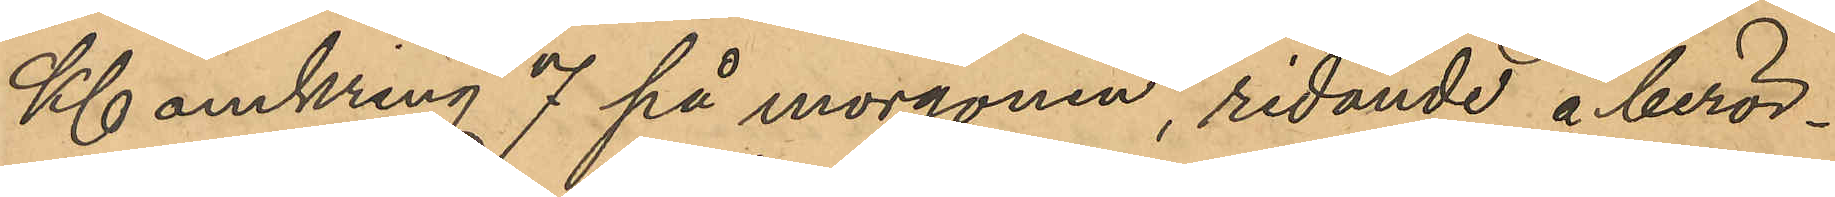Kl omkring 7 på morgonen, ridande å berör¬
